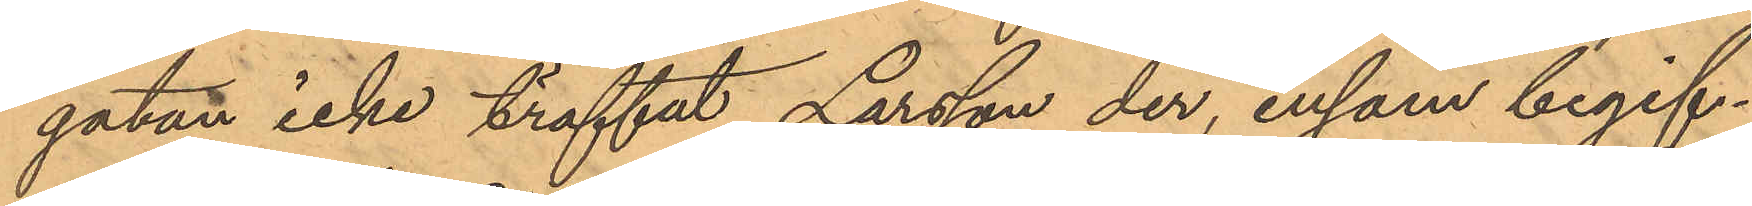gatan icke träffat Larsson der, ensam begif¬
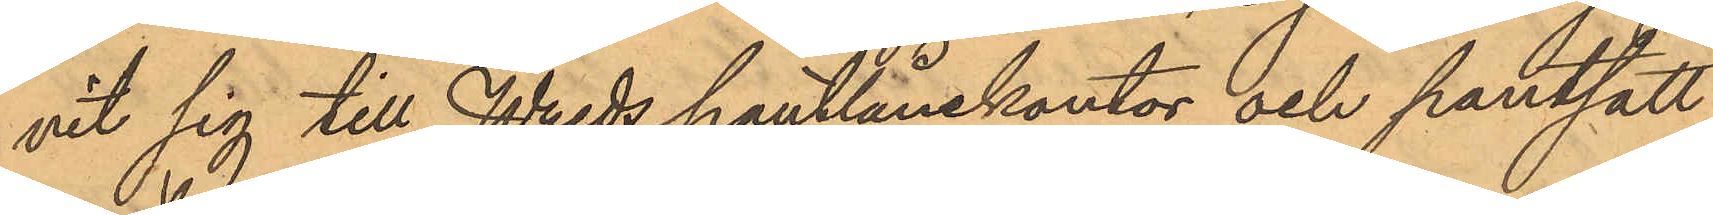vit sig till Wreds pantlånekontor och pantsatt
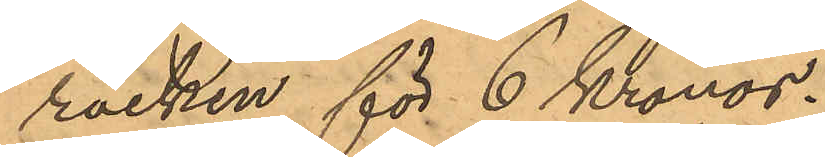rocken för 6 Kronor.
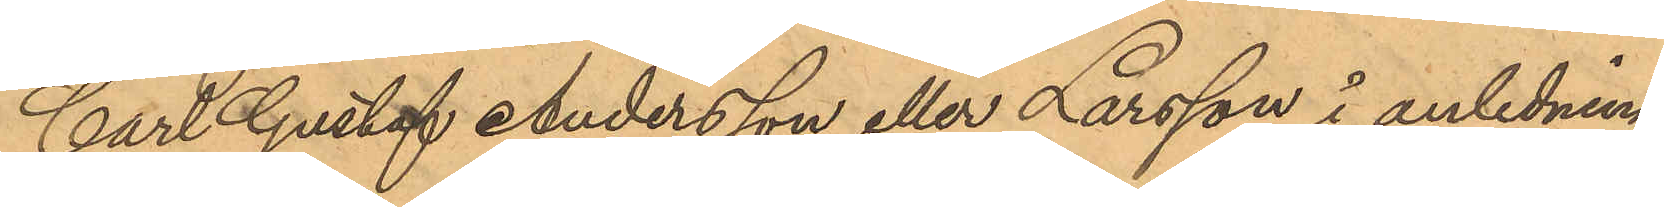Carl Gustaf Andersson eller Larsson i anledning
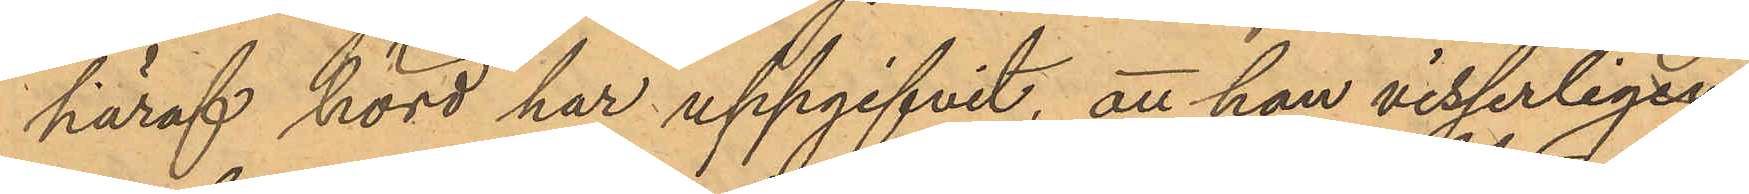häraf hörd har uppgifvit, att han visserligen,
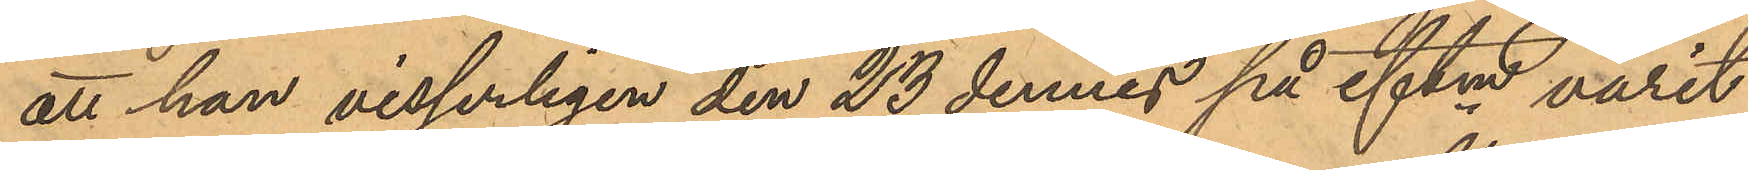att han visserligen den 23 dennes på eftm varit
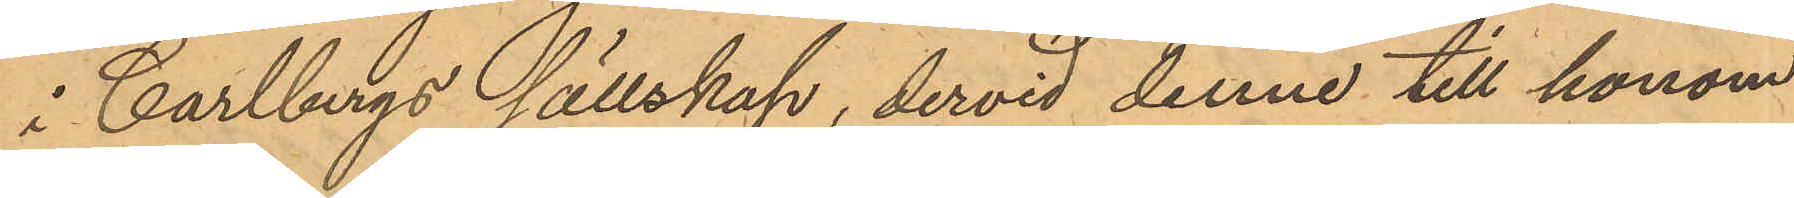i Carlbergs sällskap, dervid denne till honom
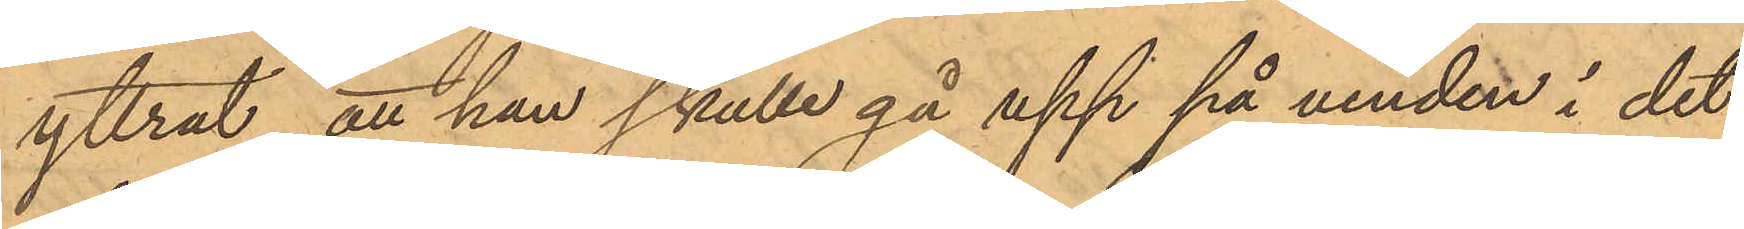yttrat, att han skulle gå upp på vinden i det
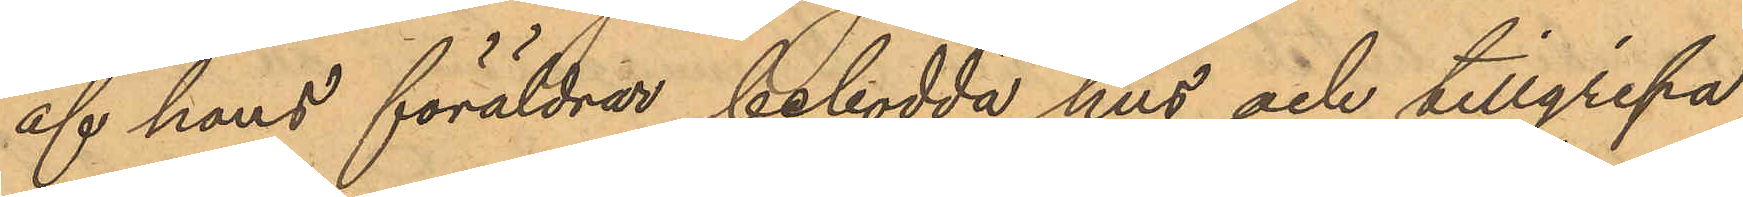af hans föräldrar bebodda hus och tillgripa
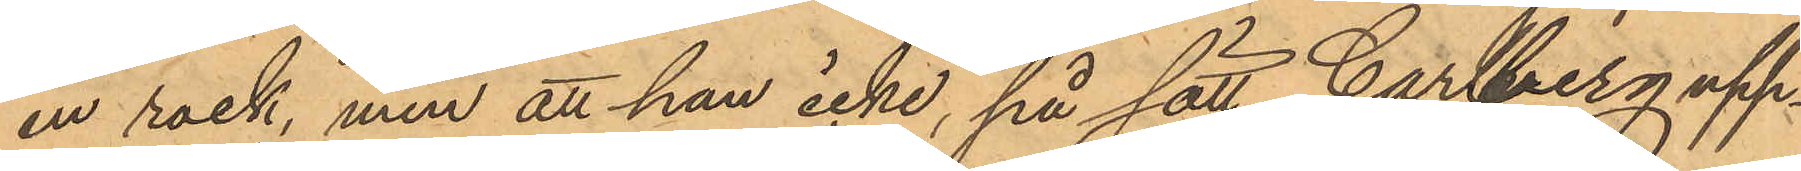en rock, men att han icke, på sätt Carlberg upp¬
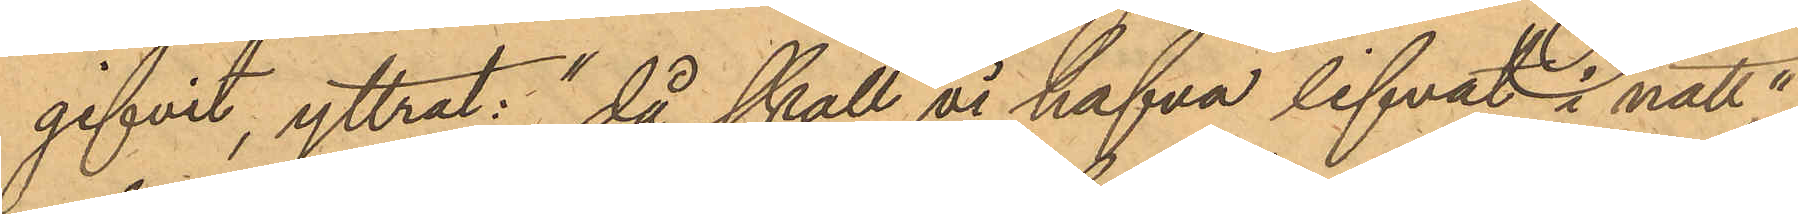gifvit, yttrat: "då skall vi hafva lifvat i natt,"
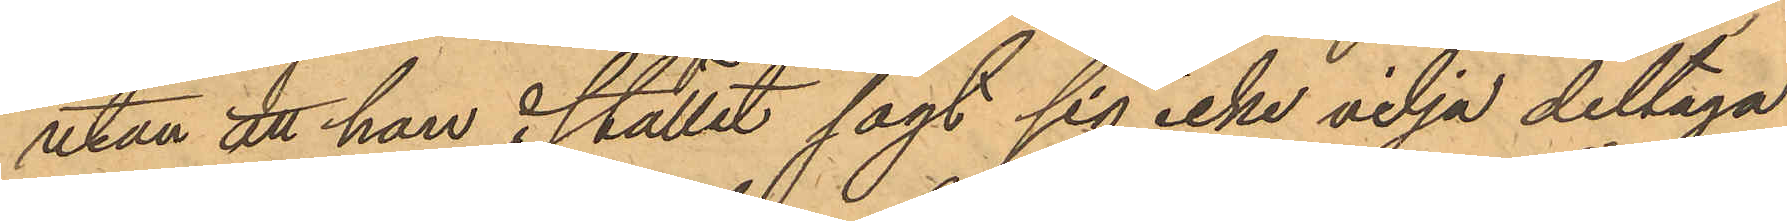utan att han i stället sagt sig icke vilja deltaga
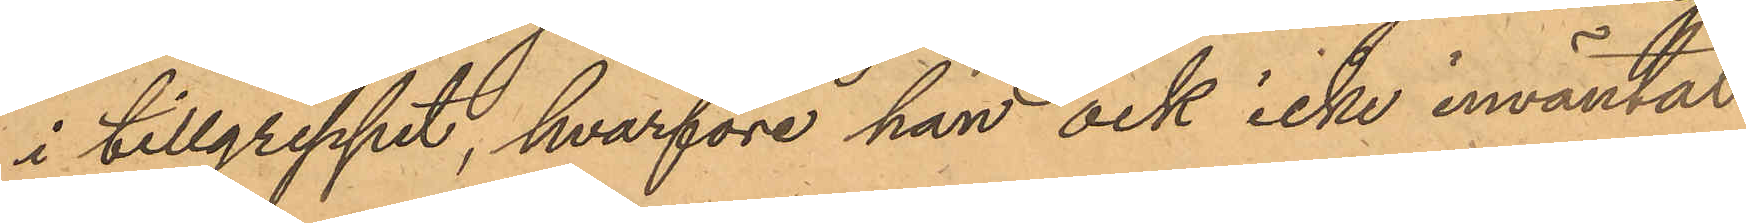i tillgreppet, hvarföre han ock icke inväntat
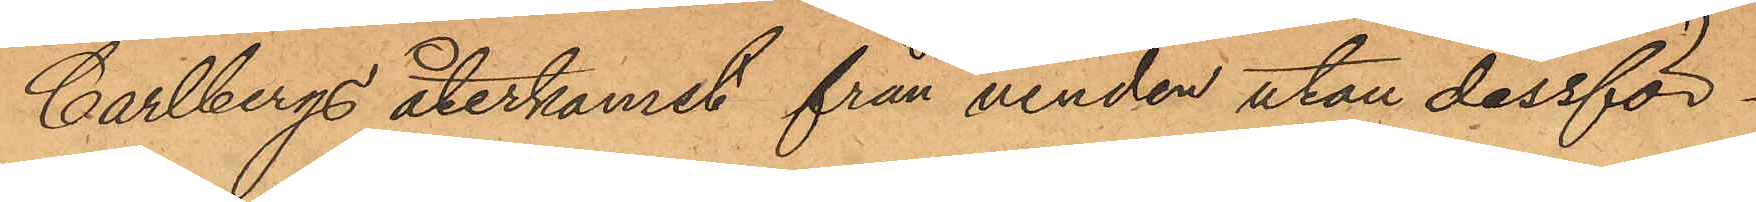Carlbergs återkomst från vinden utan dessför¬
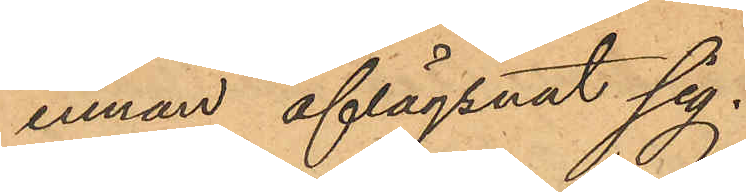innan aflägsnat sig.
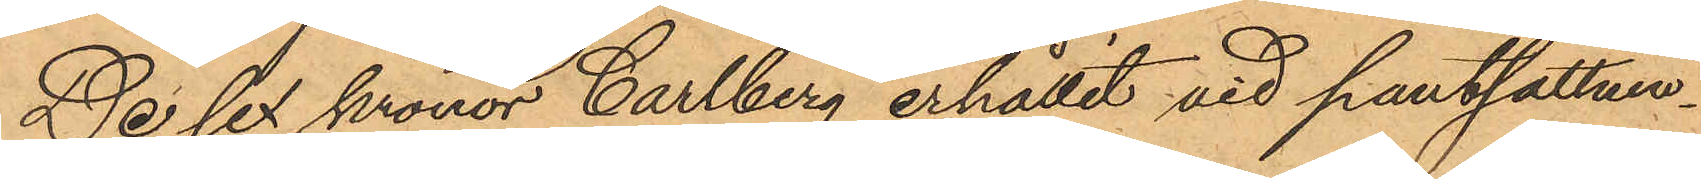De sex kronor Carlberg erhållit vid pantsättnin¬
